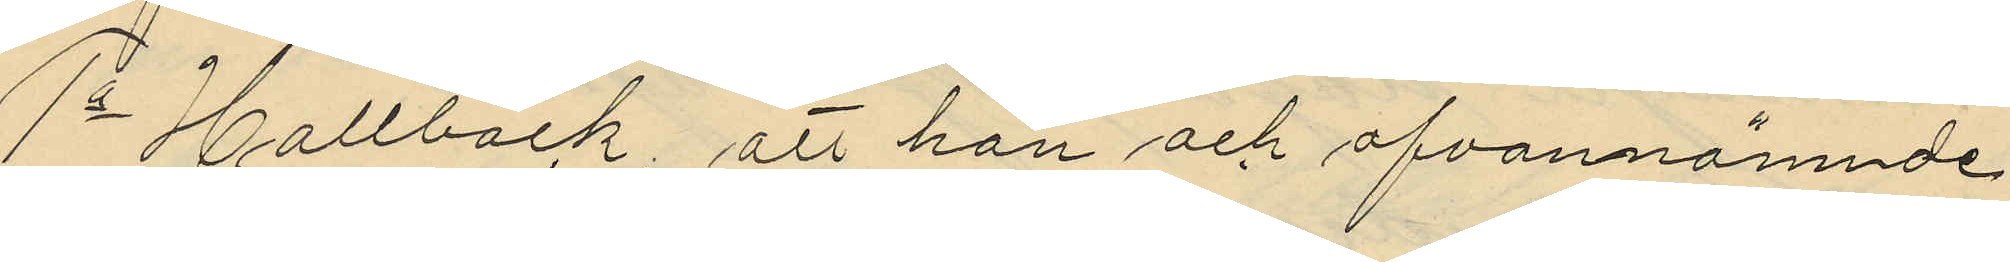1o Hallbäck att han och ofvannämnde
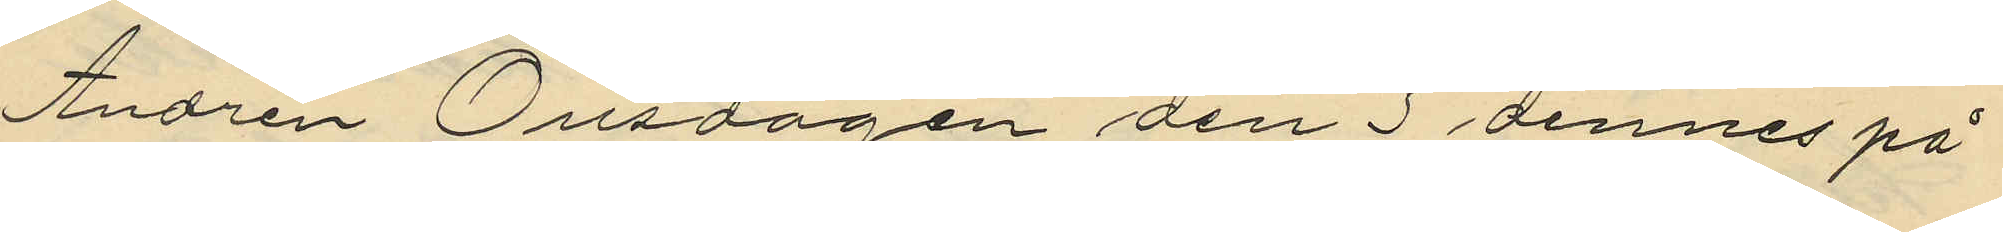Andrén Onsdagen den 3 dennes på
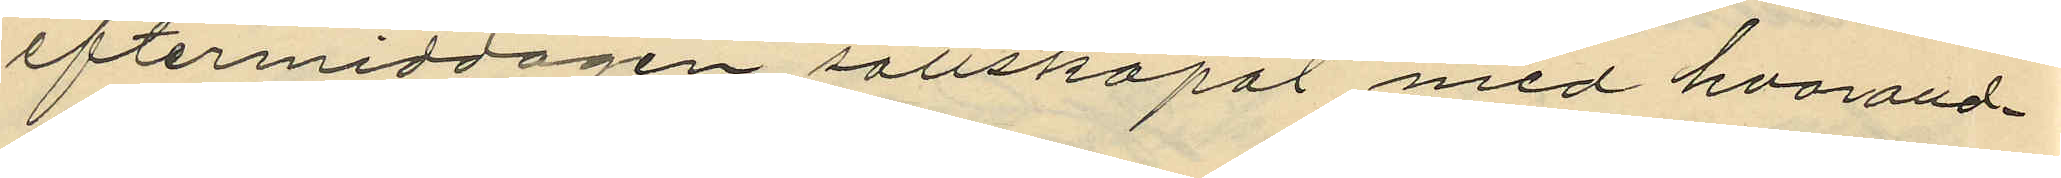eftermiddagen sällskapat med hvarand¬
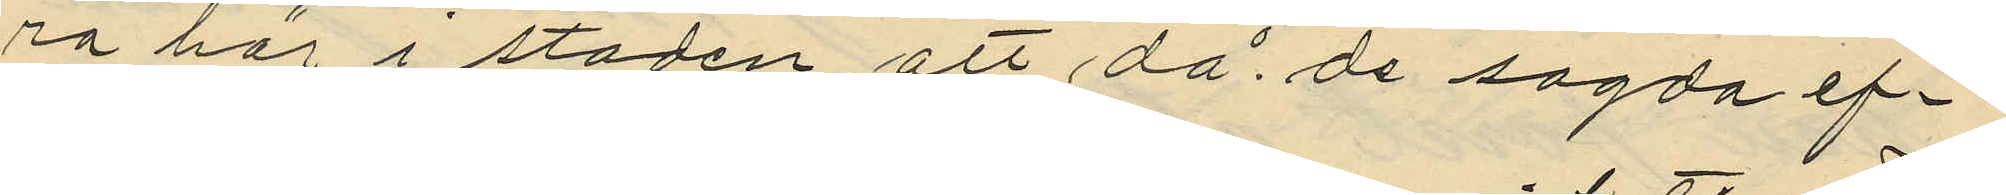ra här i staden, att då de sagda ef¬
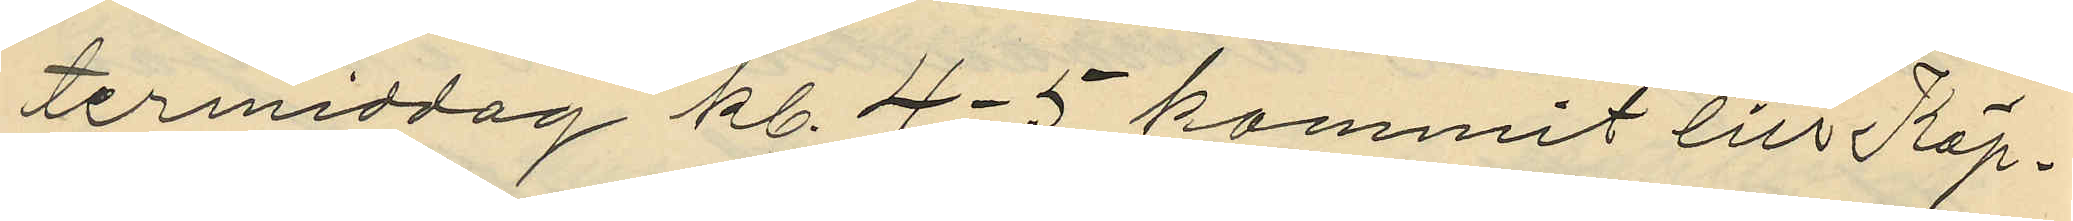termiddag kl. 4-5 kommit till Köp¬
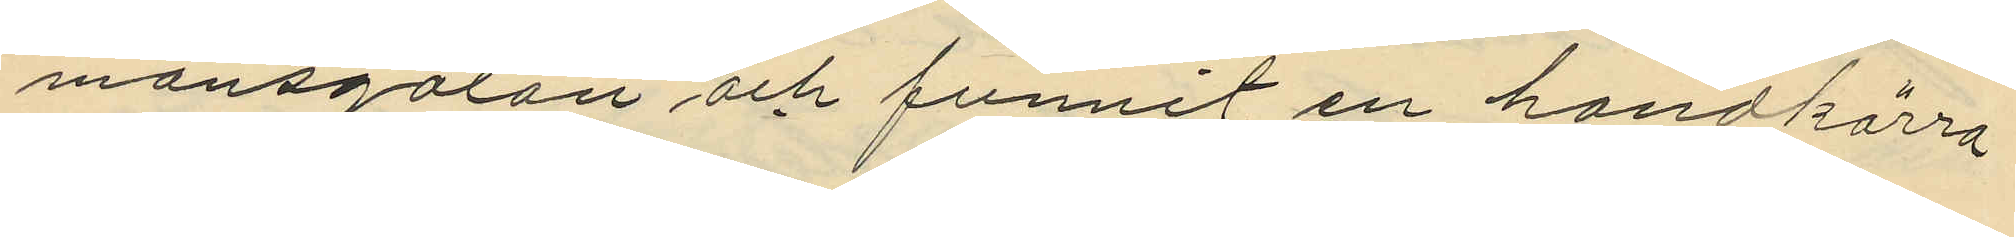mansgatan och funnit en handkärra
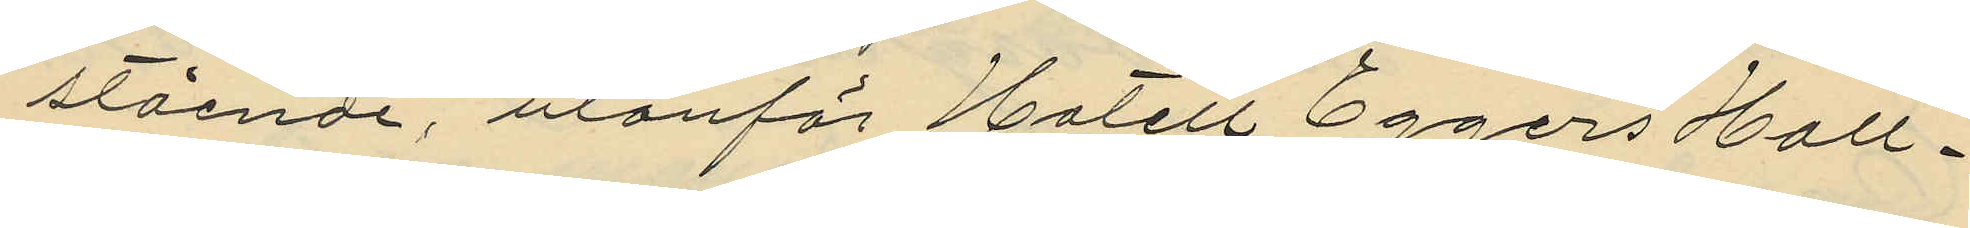stående, utanför Hotell Eggers Hall¬
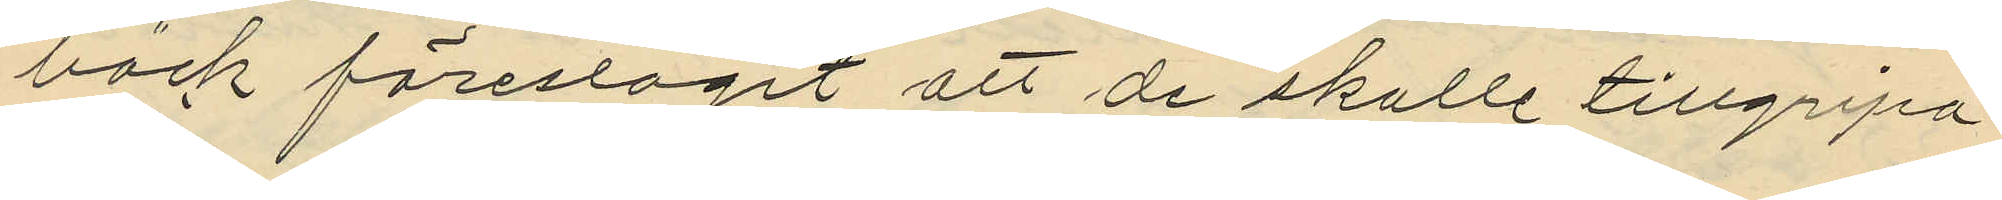bäck föreslagit att de skulle tillgripa
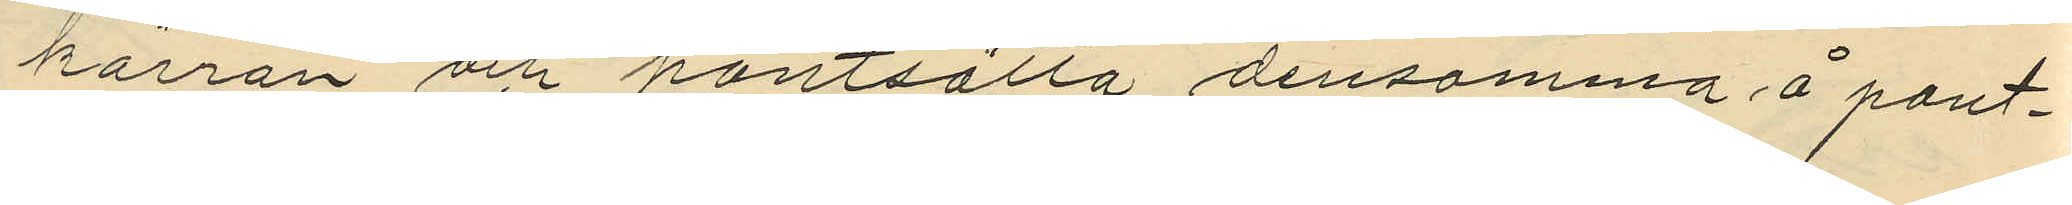kärran och pantsätta densamma å pant¬
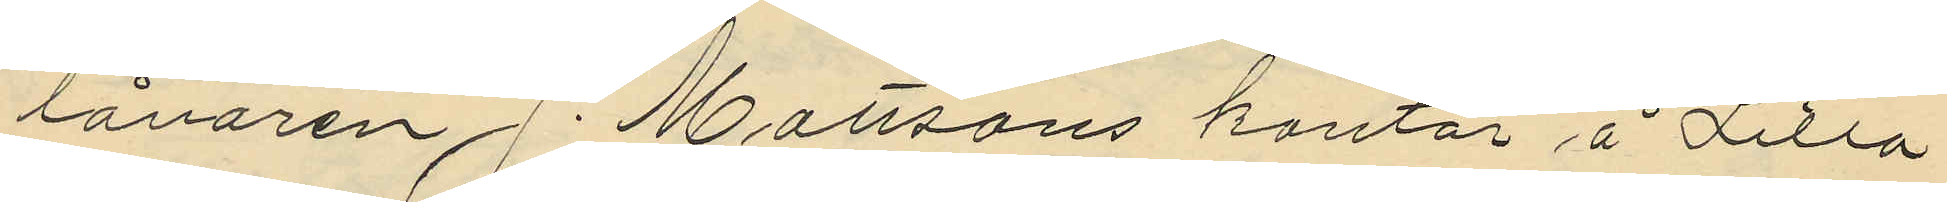lånaren J. Mattsons kontor å Lilla
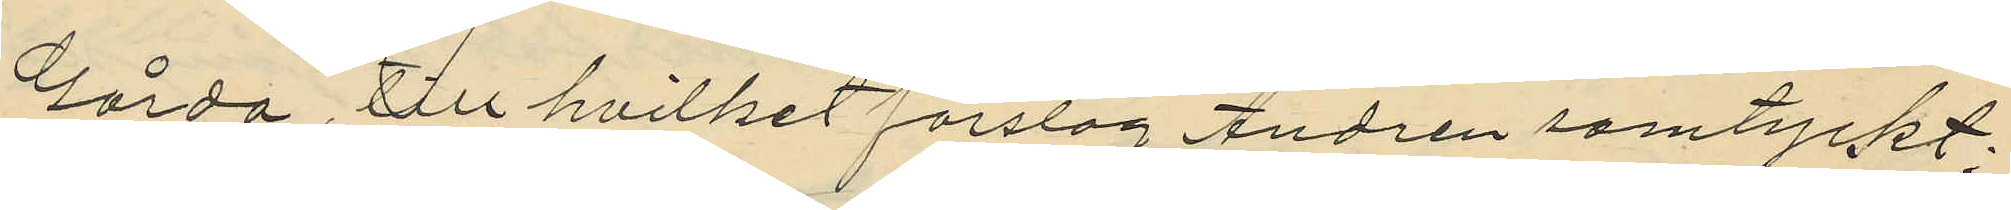Gårda till hvilket förslag Andrén samtyckt;
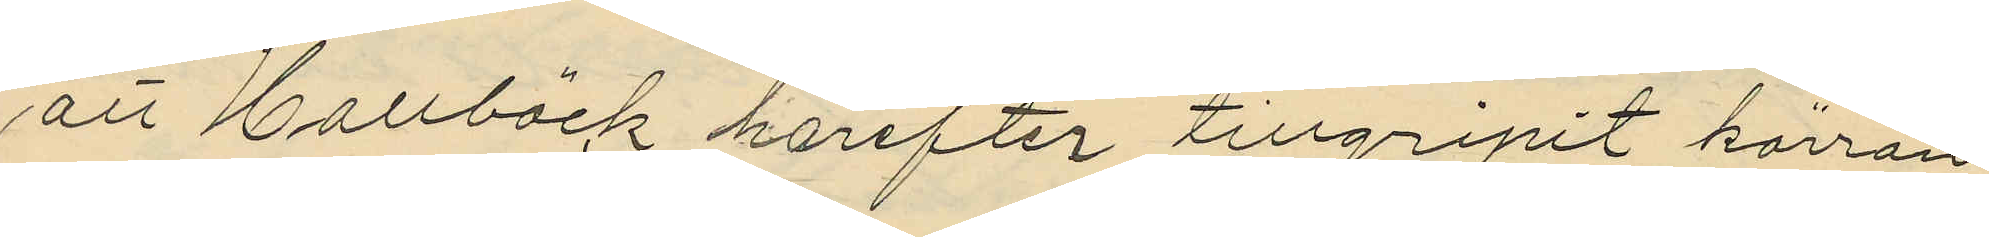att Hallbäck härefter tillgripit kärran
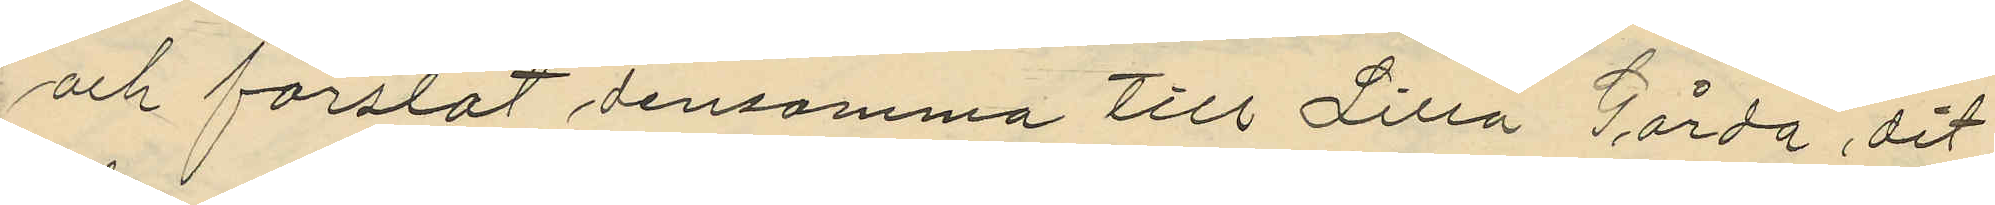och forslat densamma till Lilla Gårda, dit
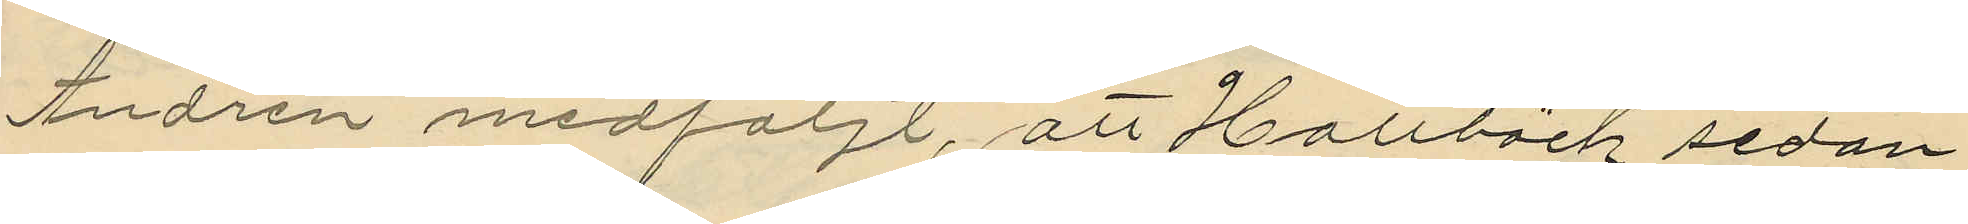Andrén medföljt, att Hallbäck sedan
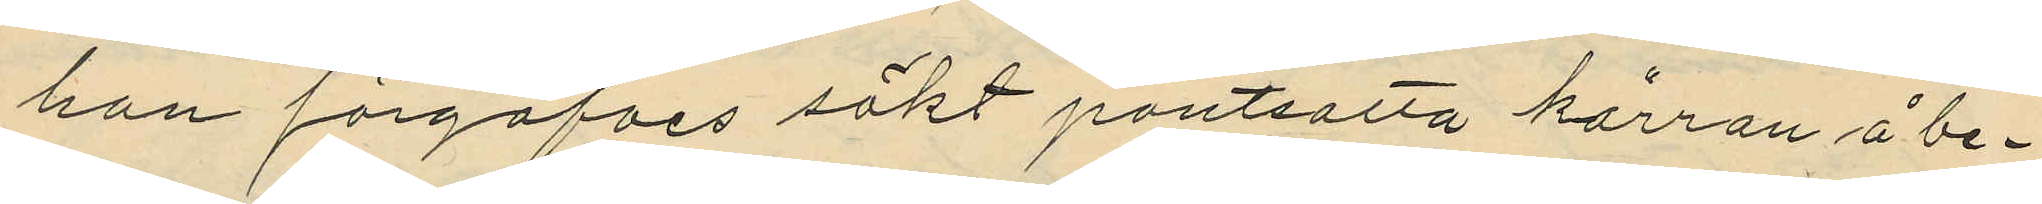han förgäfves sökt pantsatta kärran å be¬
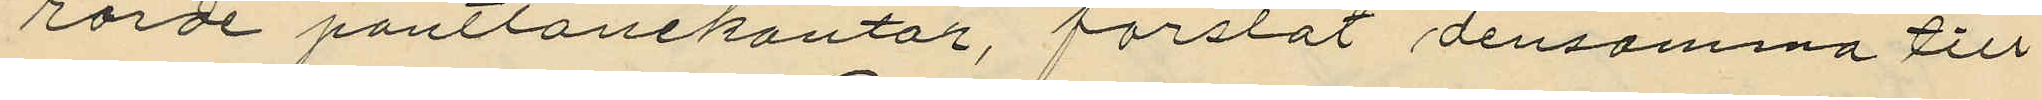rörde pantlånekontor, forslat densamma till
